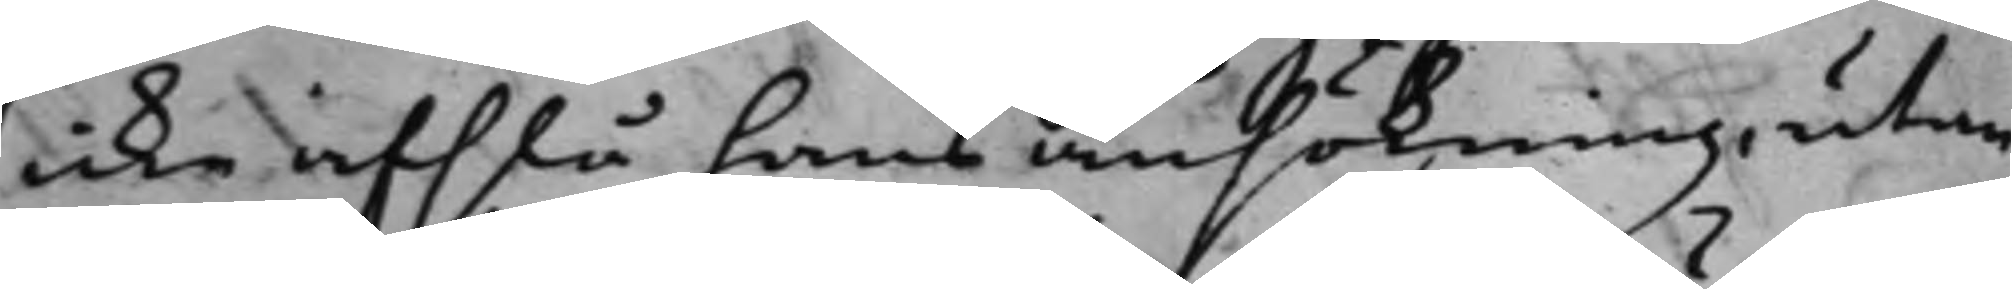icke afslå hans ansökning, utan
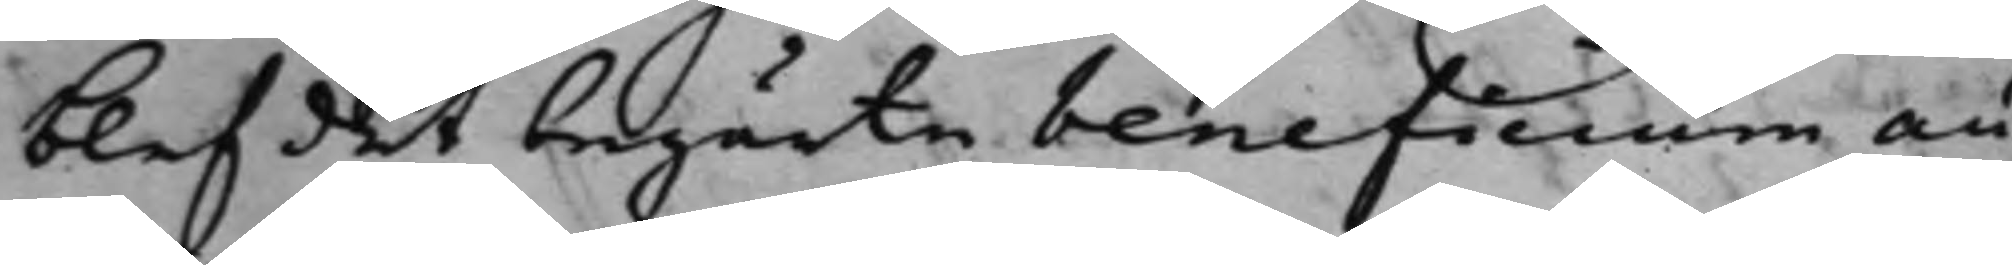blef det begärte beneficium au¬
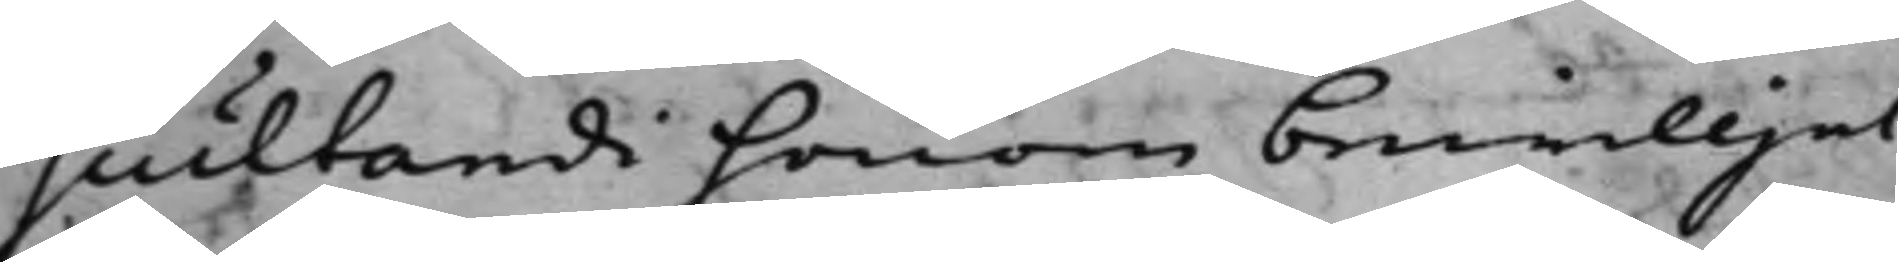scultandi honom bewiljat.
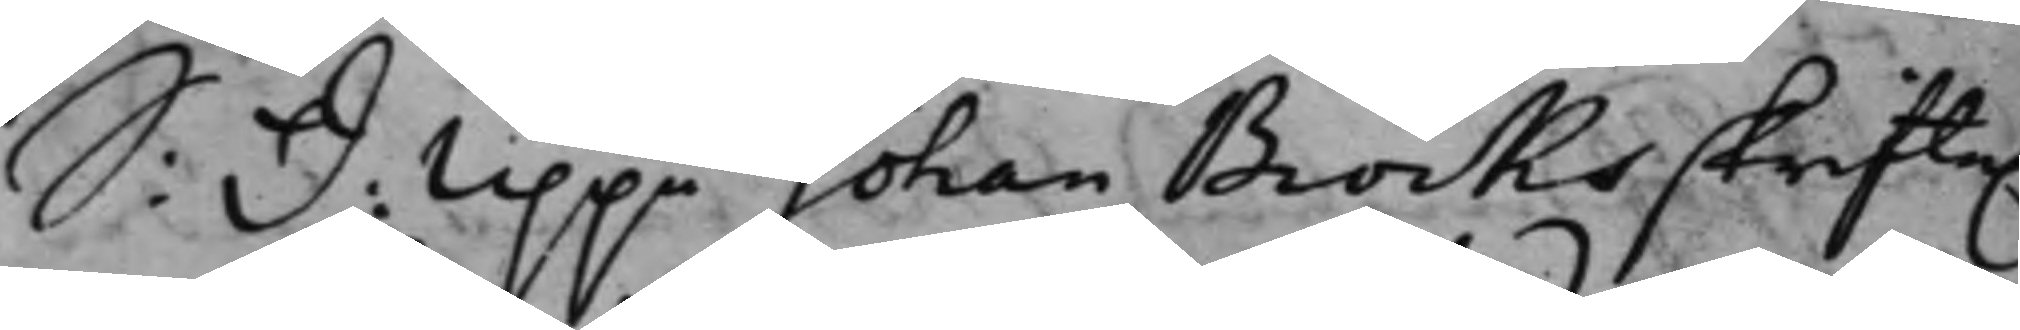S: d: Uppå Johan Brocks skrifte.
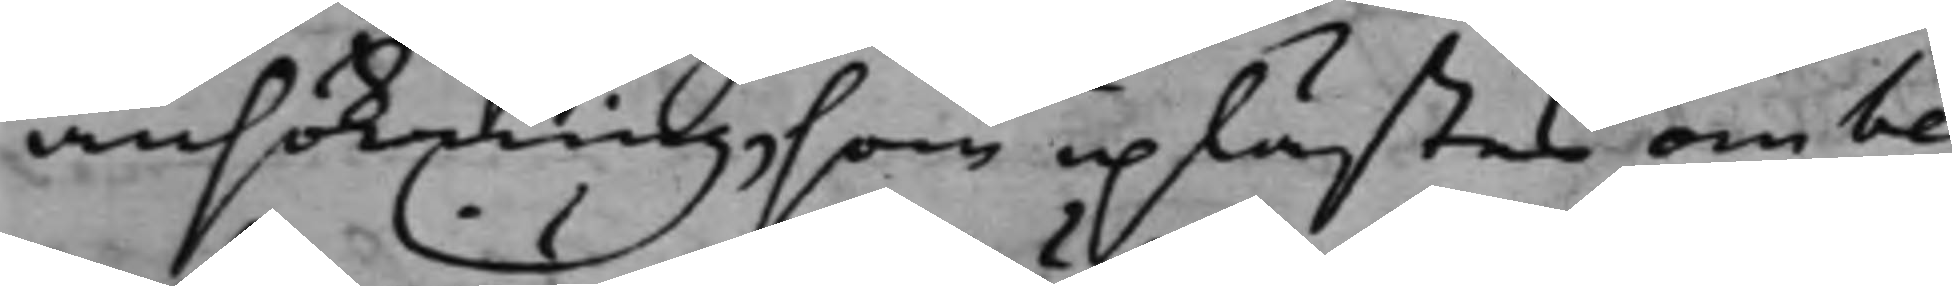ansökning, som uplästes om be¬
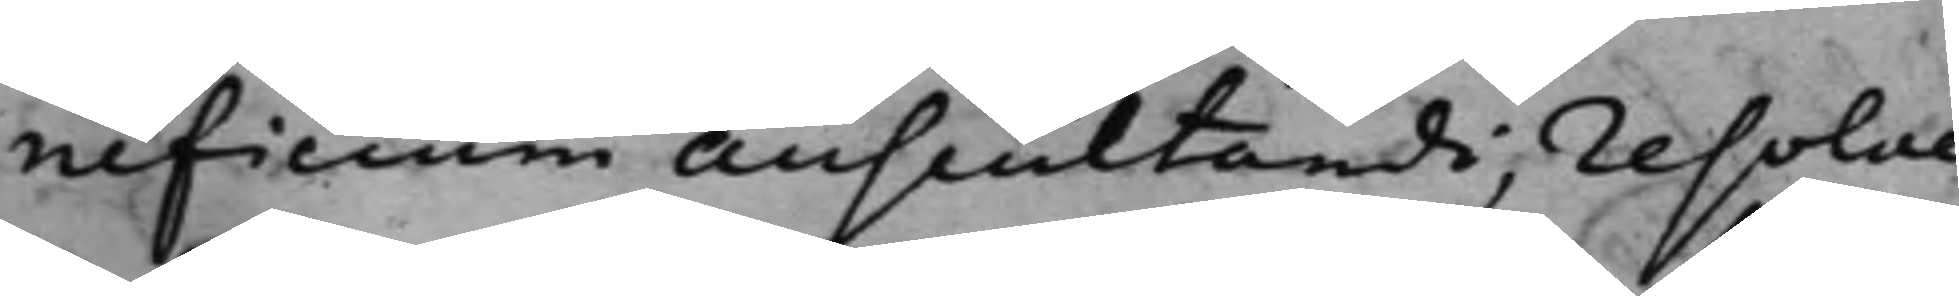neficium Auscultandi, resolve¬
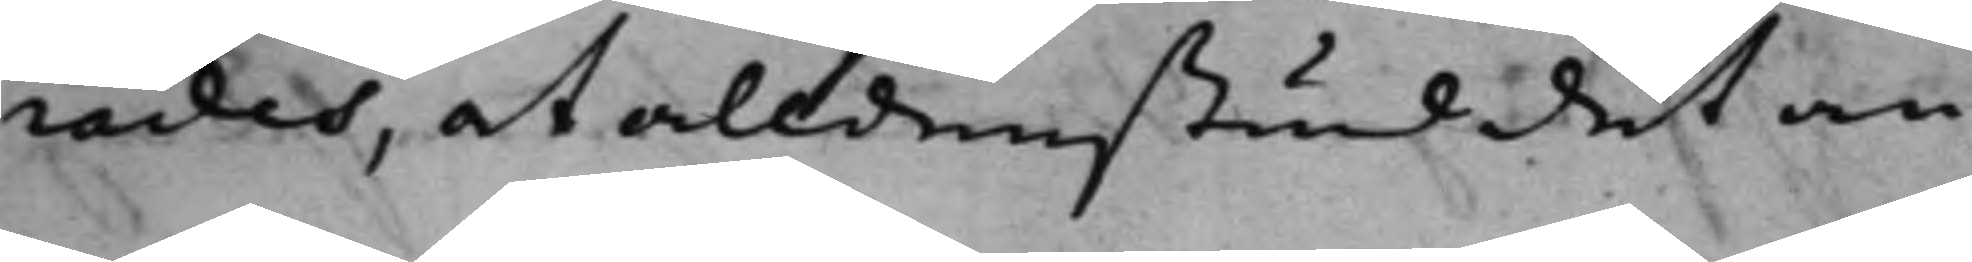rades, at alldenstund det an¬
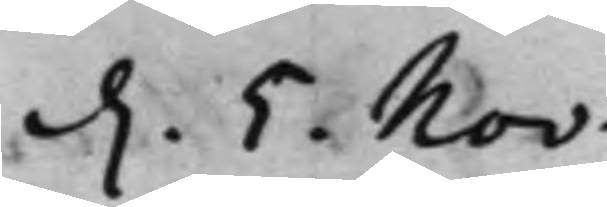d. 5. Nov:
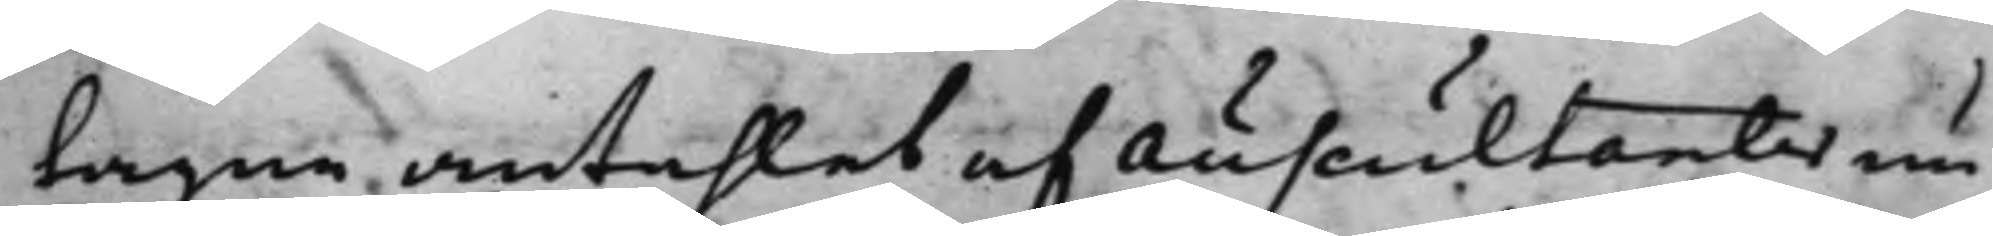tagne antahlet af Auscultanter nu
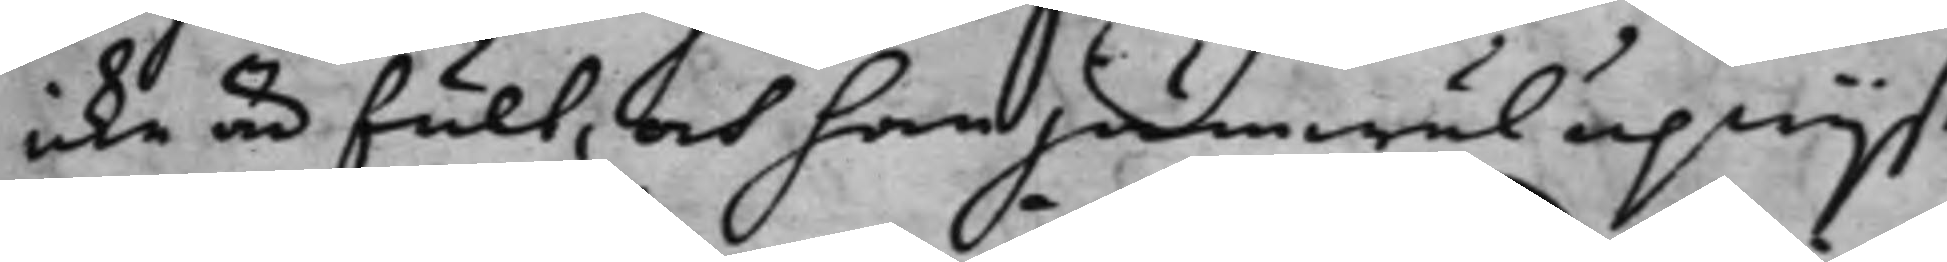icke är fult, och han jämwäl upwijst
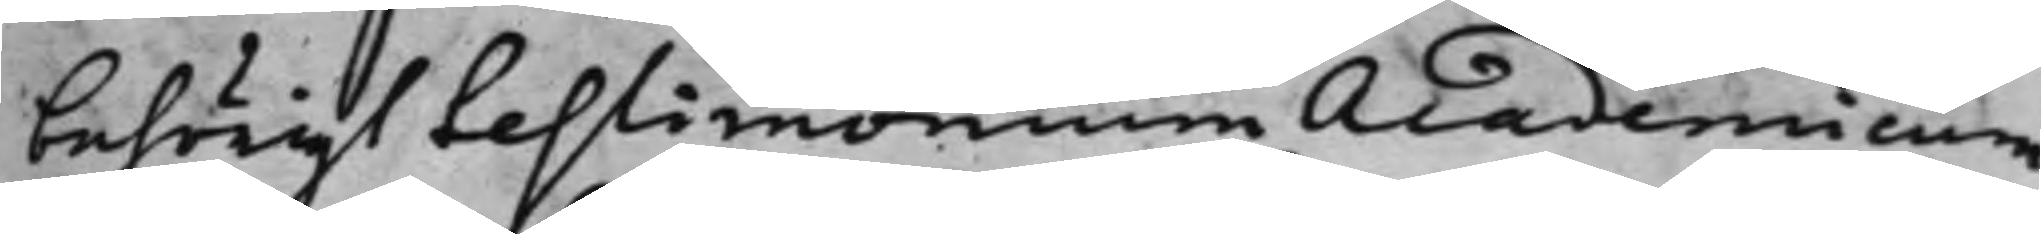behörigt testimonium Academicum
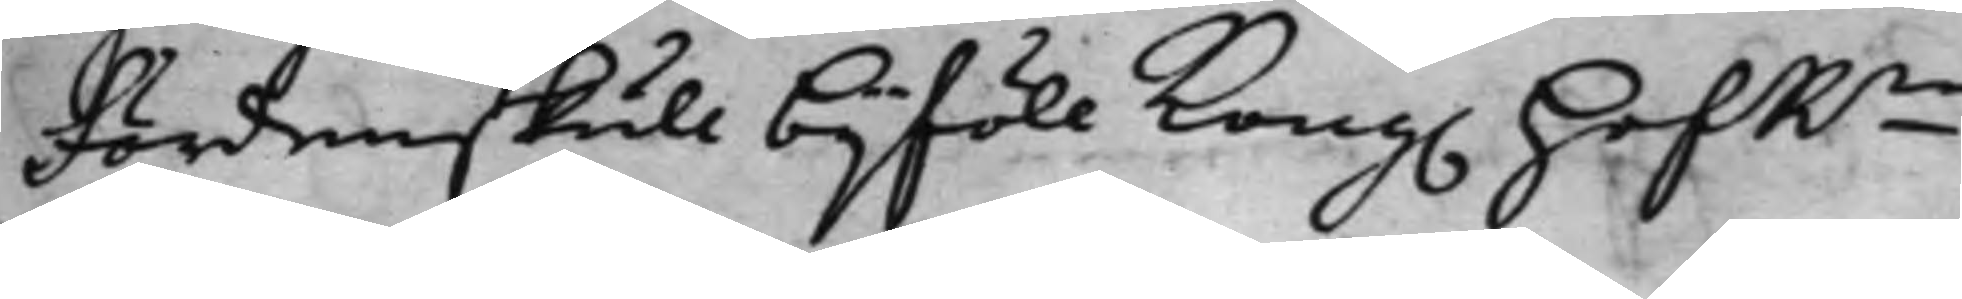Fördenskull bijföll Kong. HofRn
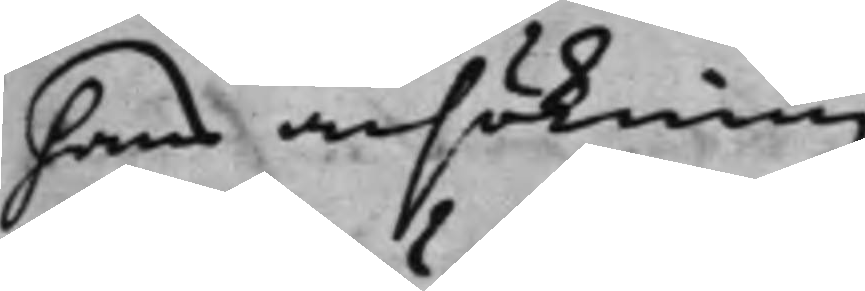hans ansökning.
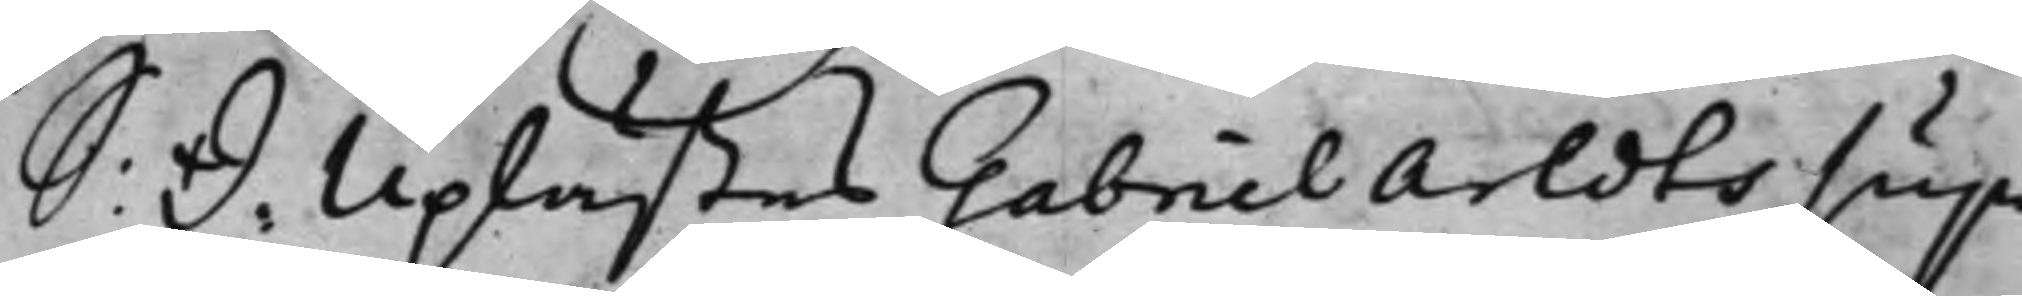S: d: Uplästes Gabriel Arldts sup¬
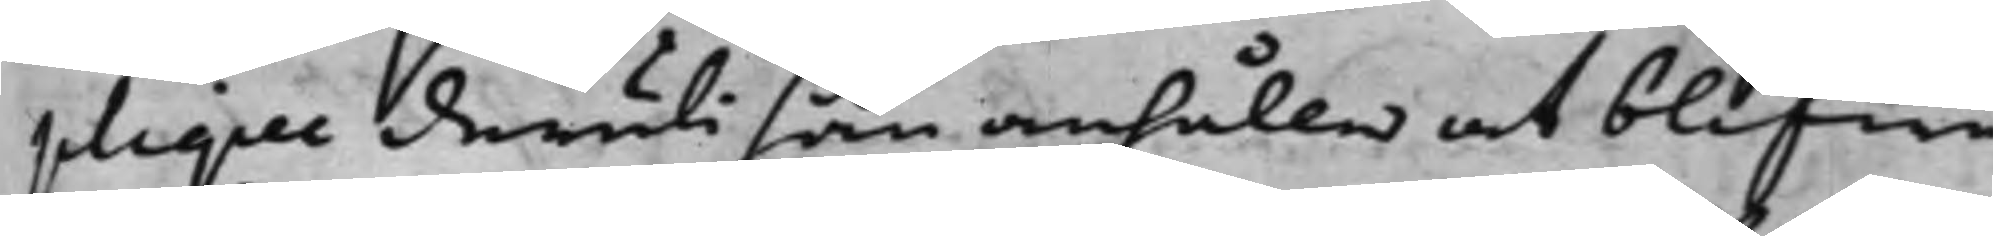plique deruti han anhåller at blifwa
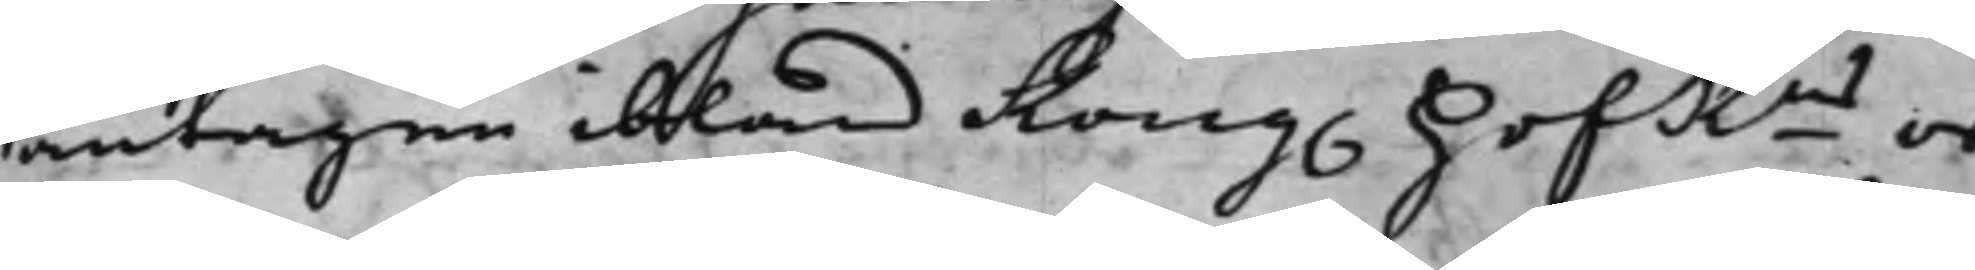antagen ibland Kong. HofRns or¬
